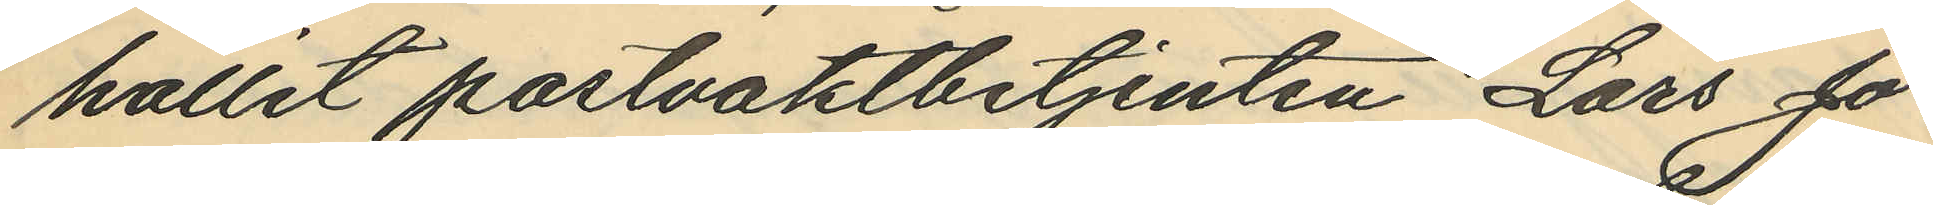hållit postvaktbetjenten Lars Jo¬
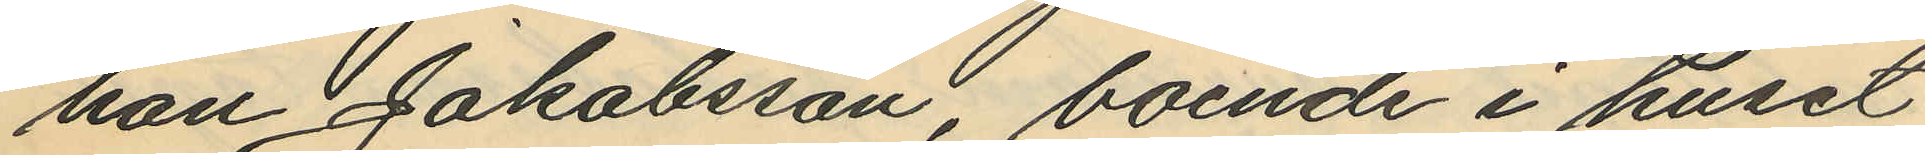han Jakobsson boende i huset
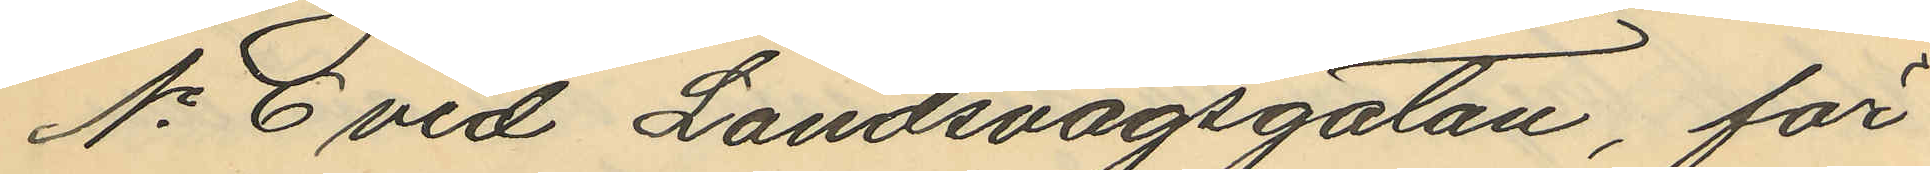No 6 vid Landsvägsgatan, för
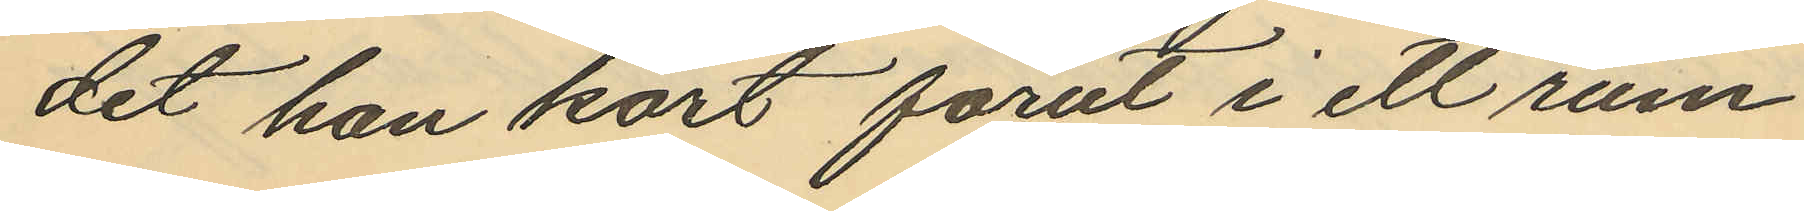det han kort förut i ett rum
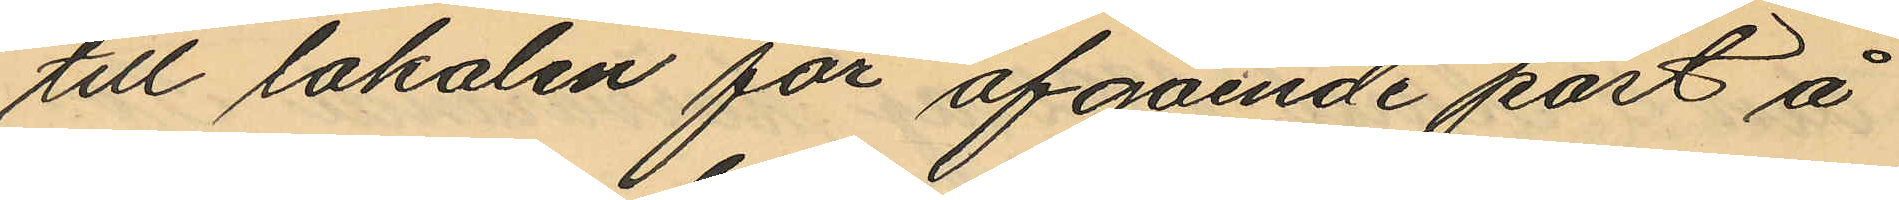till lokalen för afgående post å
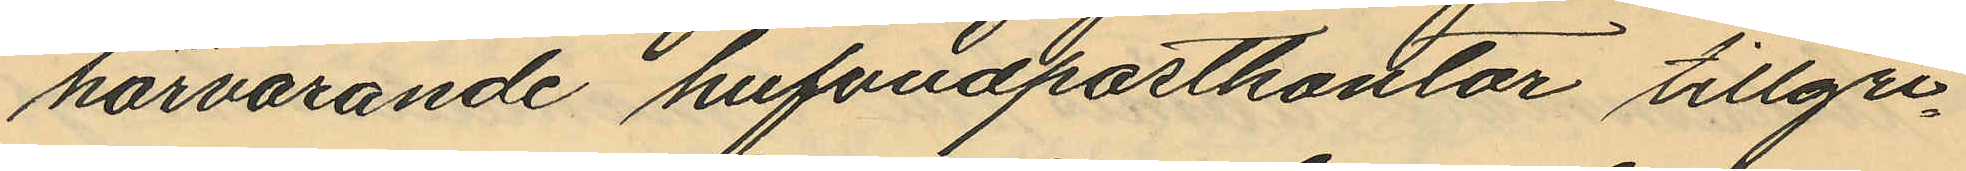härvarande hufvudpostkontor tillgri¬
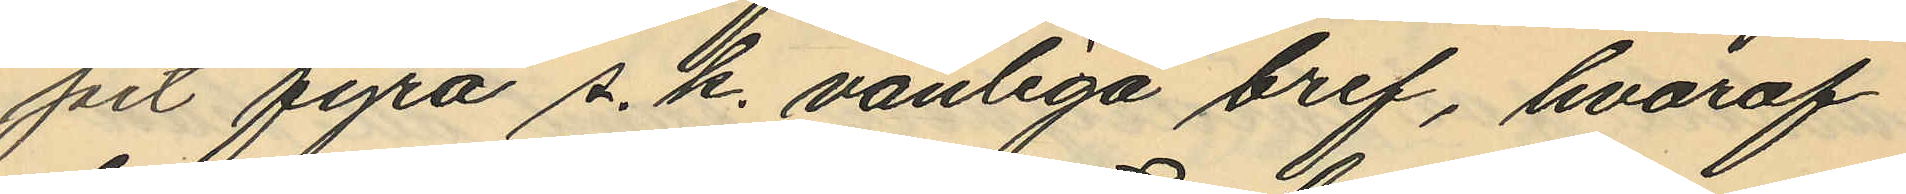pit fyra s.k. vanliga bref, hvaraf
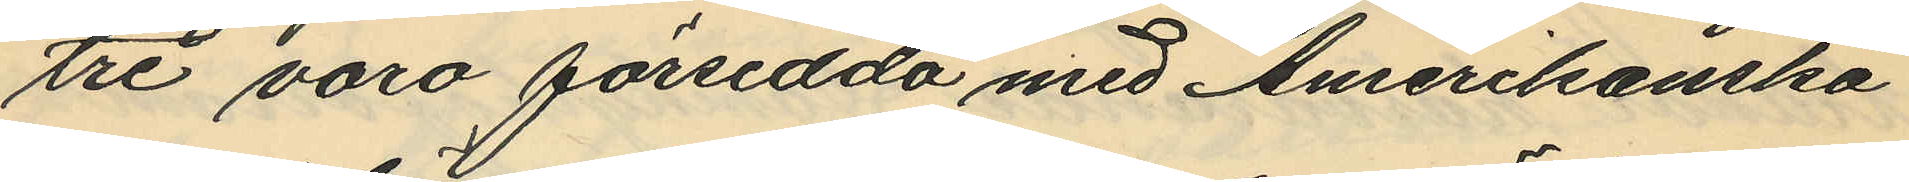tre voro försedda med Amerikanska
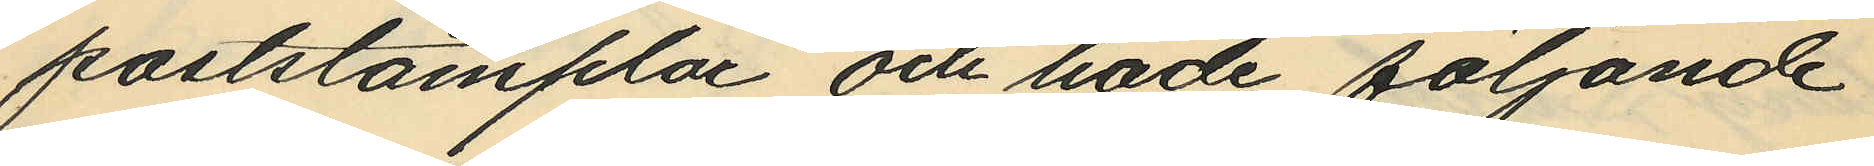poststämplar och hade följande
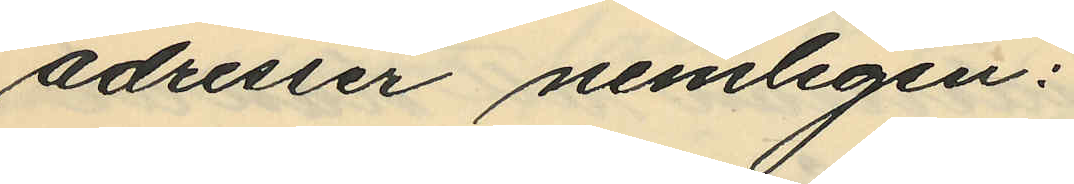adresser nemligen:
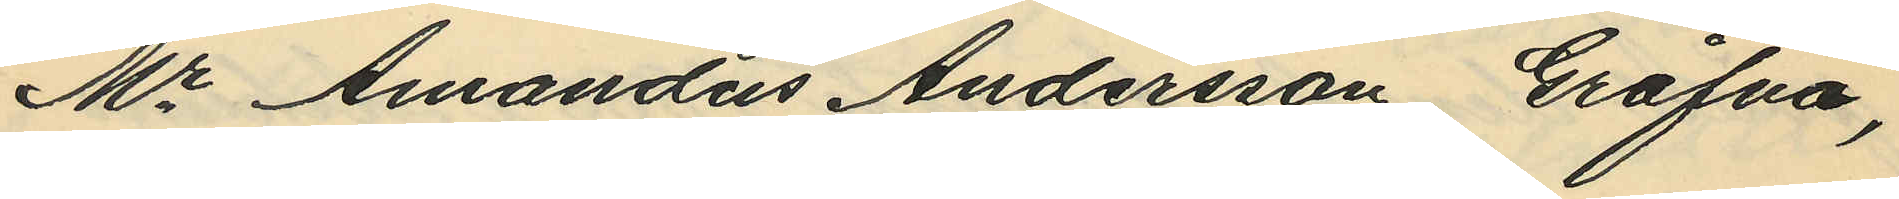"Mr Amandus Andersson Gråfva,
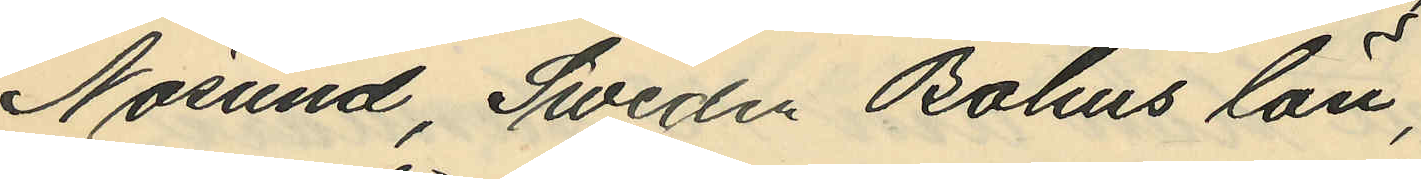Nösund, Sweden Bohus län,"
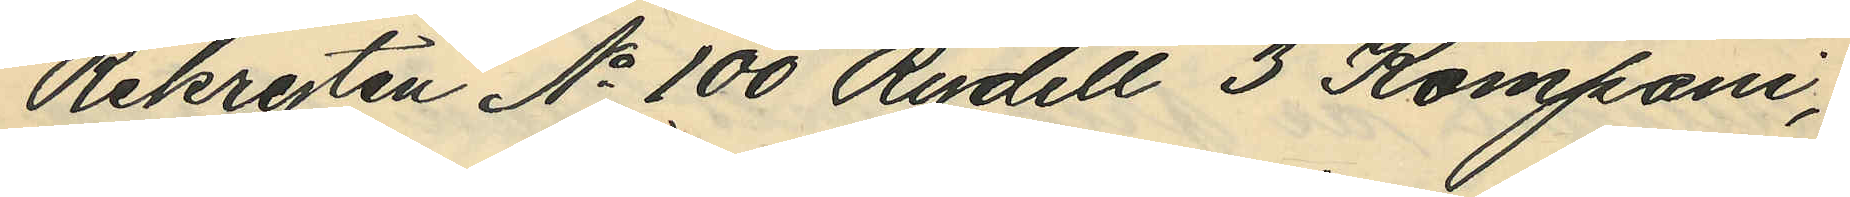"Rekryten No 100 Rydell 3 Kompani,
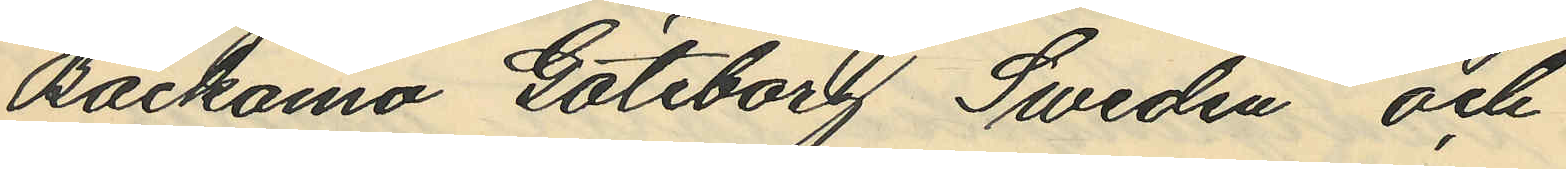Backamo Göteborg Sweden" och
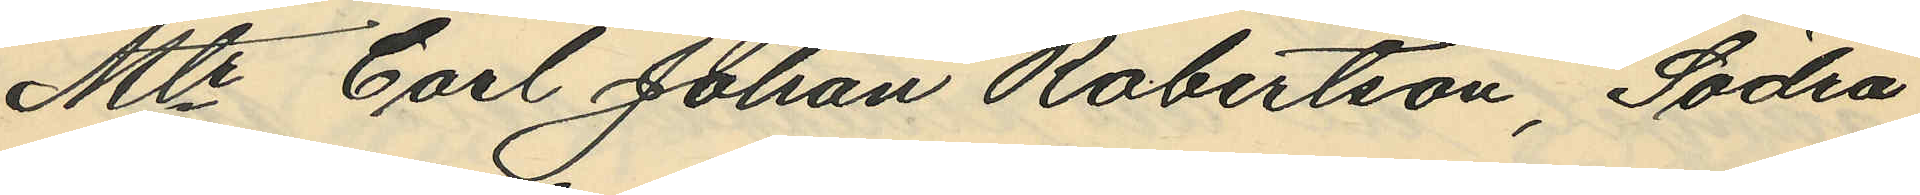"Mtr Carl Johan Robertson, Södra
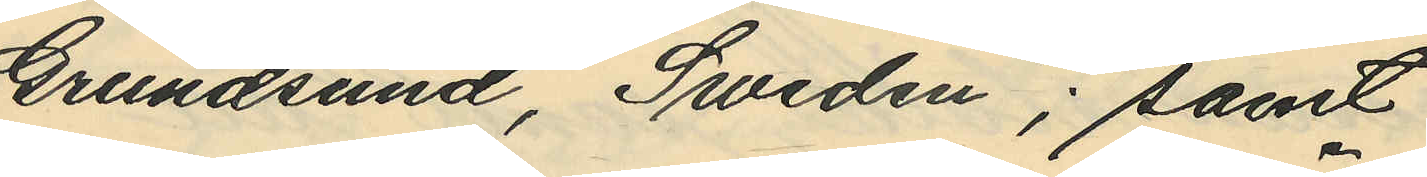Grundsund, Sweden"; samt
